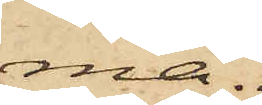ma.
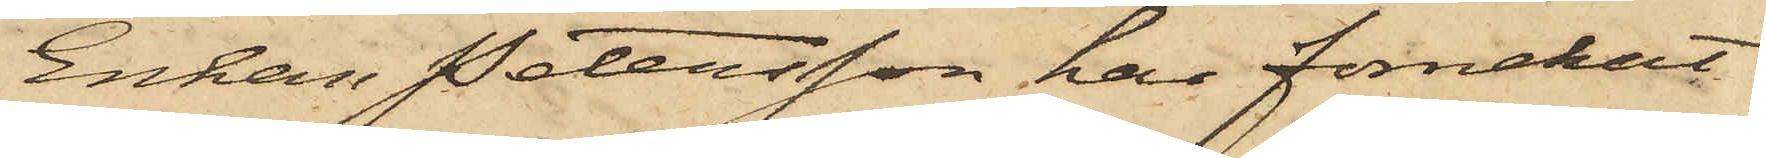Enkan Petersson har förnekat
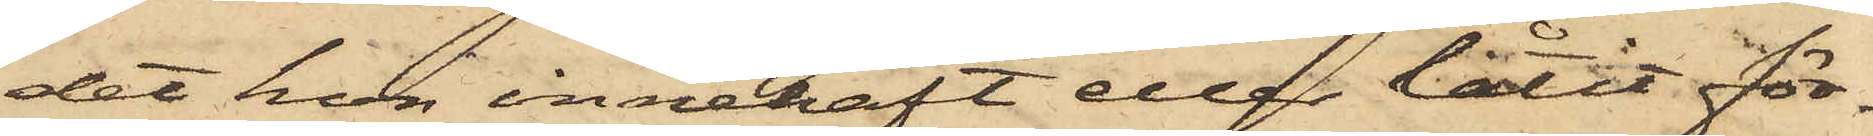det hon innehaft eller låtit för¬
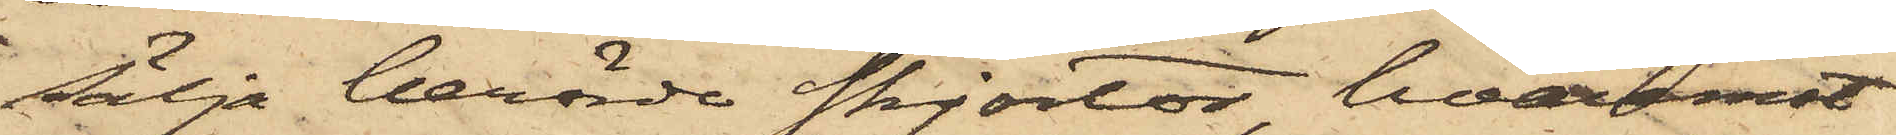sälja berörde skjortor, hvaremot
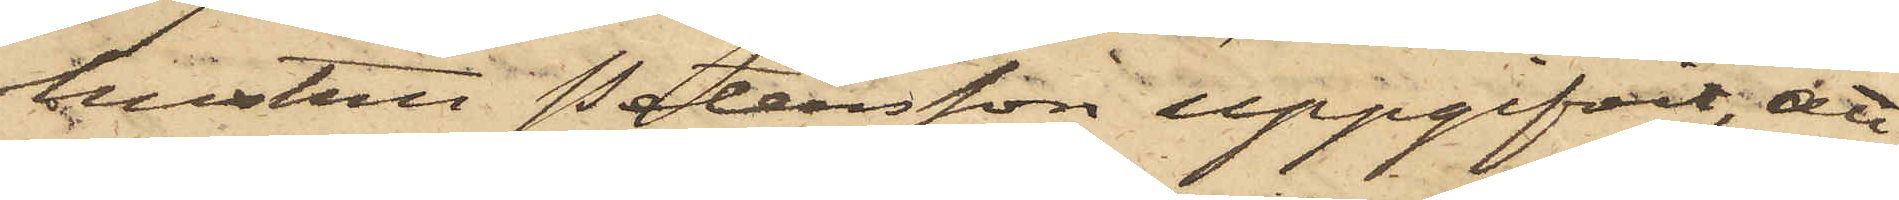hustru Petersson uppgifvit, att
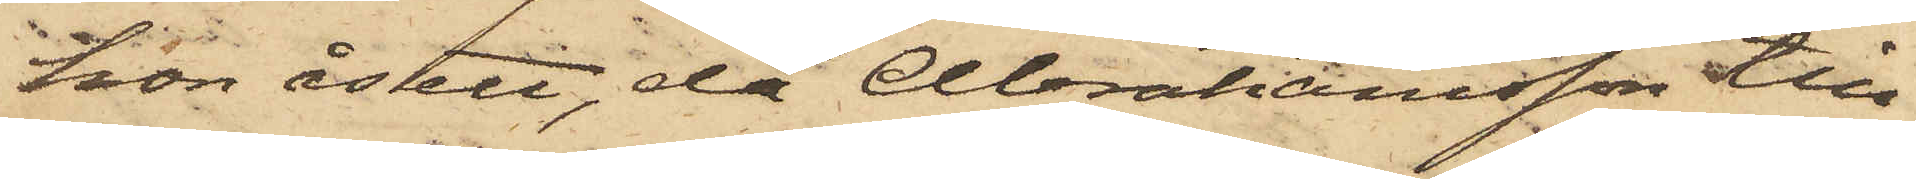hon åsett, då Abrahansson till
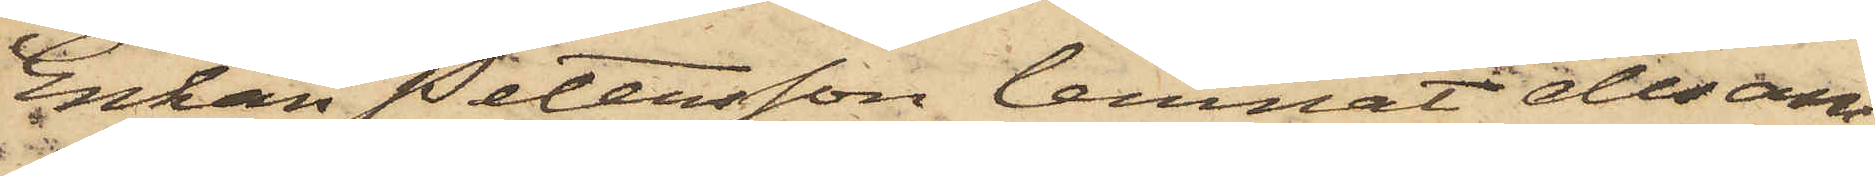Enkan Petersson lemnat desam¬
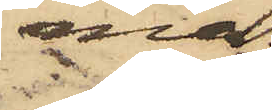ma.
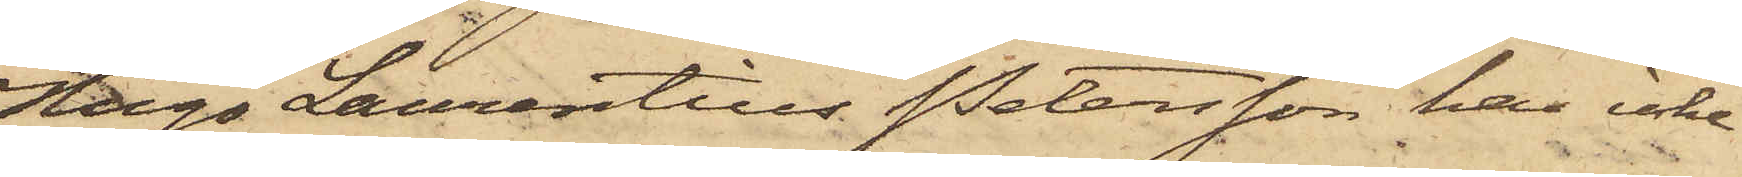Hugo Laurentius Petersson har icke
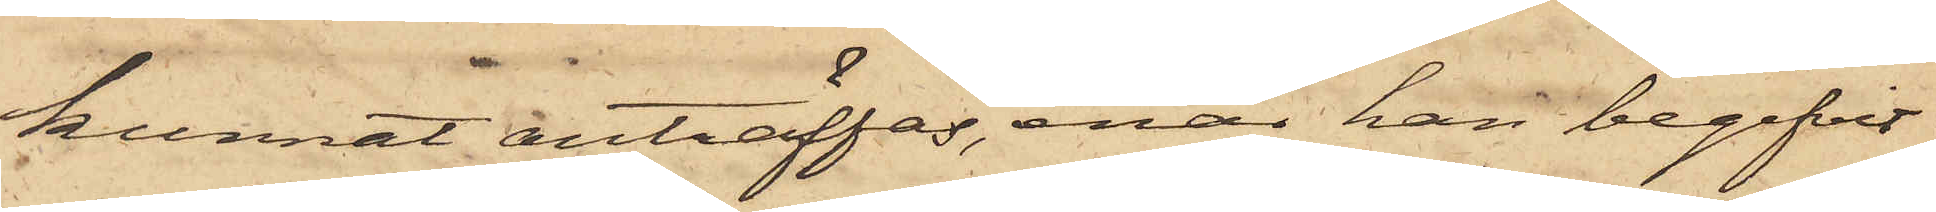kunnat anträffas, enär han begifvit
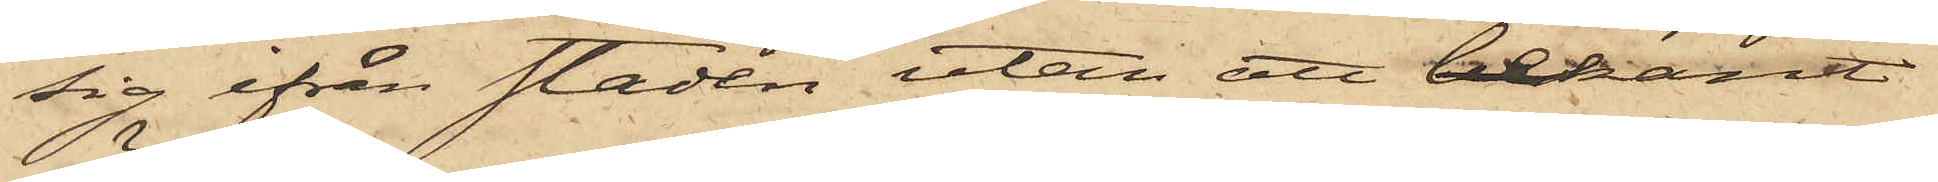sig ifrån staden utan att bekant
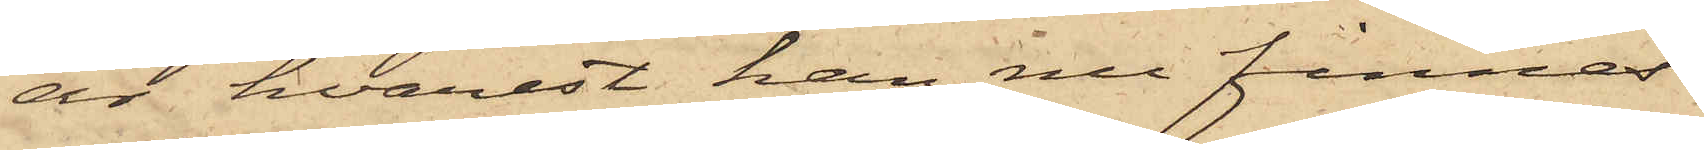är hvarest han nu finnes.
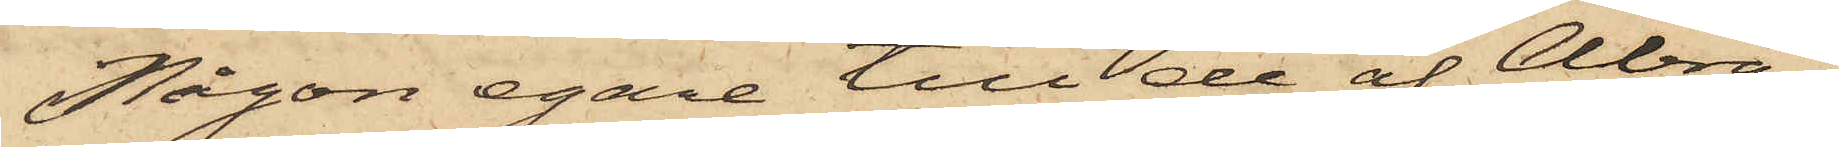Någon egare till de af Abra¬
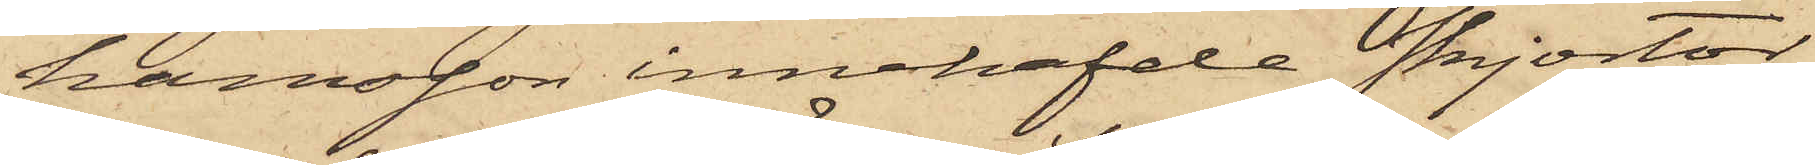hamsson innehafde skjortor
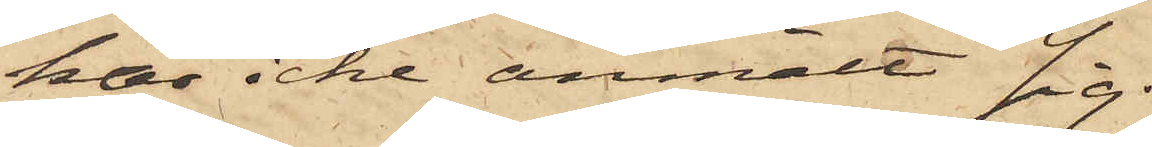har icke anmält sig.
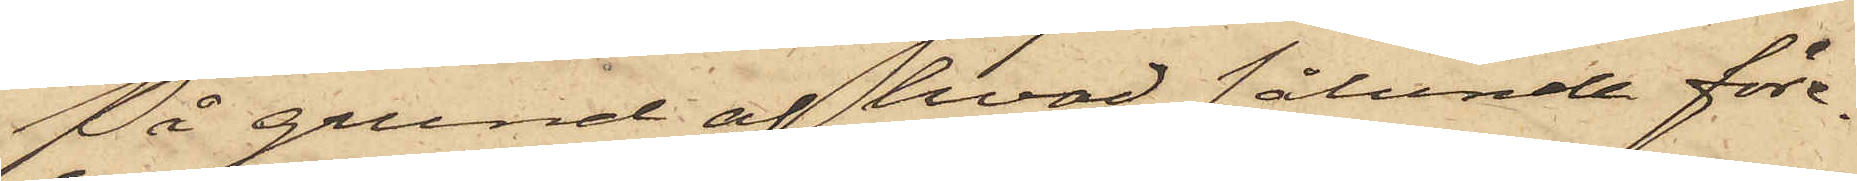På grund af hvad sålunda före¬
